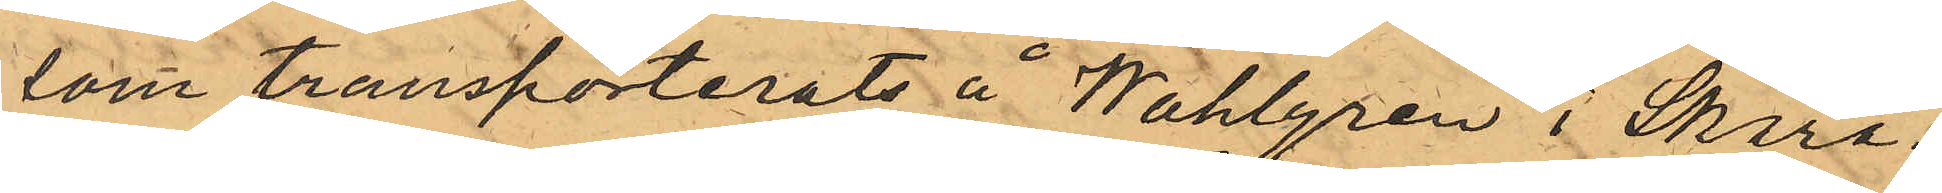som transporterats å Wahlgren i Skara¬
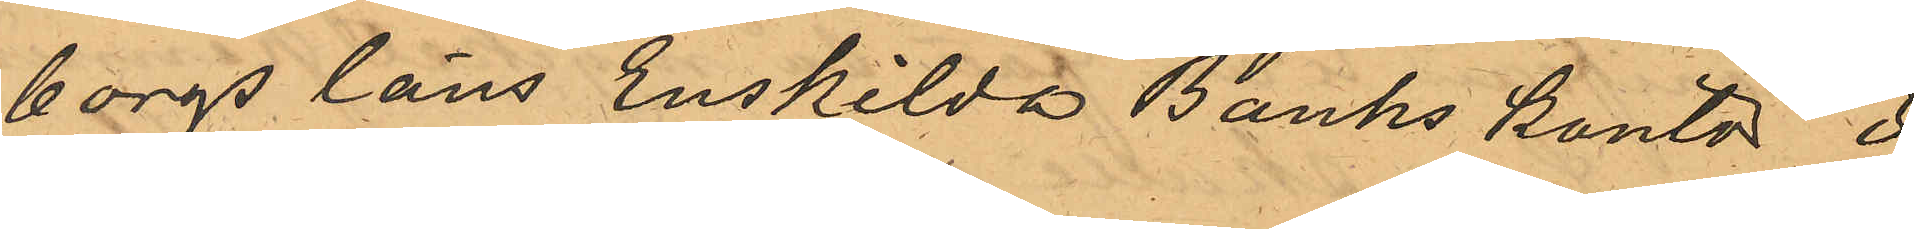borgs läns Enskilda Banks kontor i
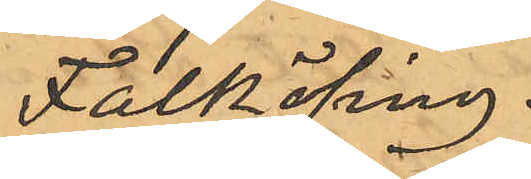Falköping.
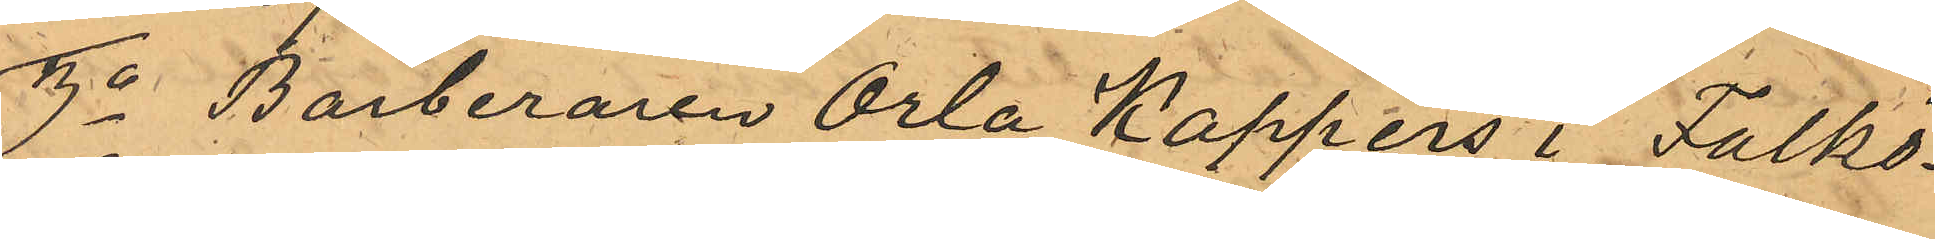3o Barberaren Orla Kappers i Falkö¬
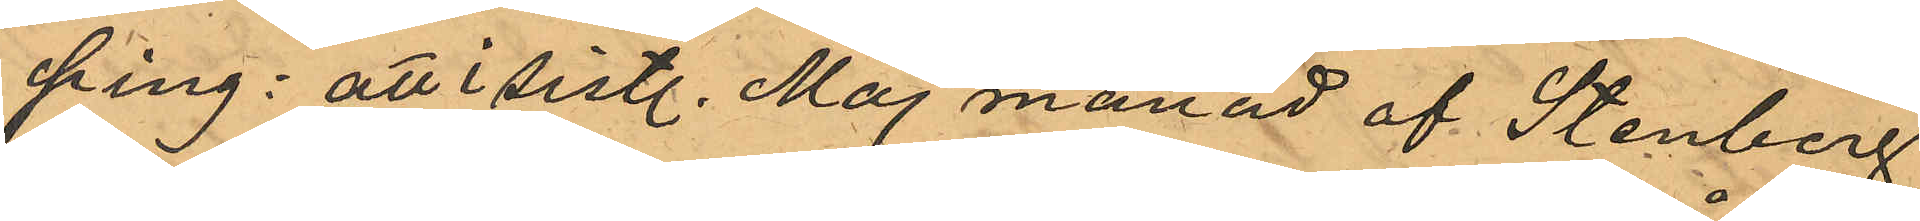ping: att i sistl. Maj månad af Stenberg
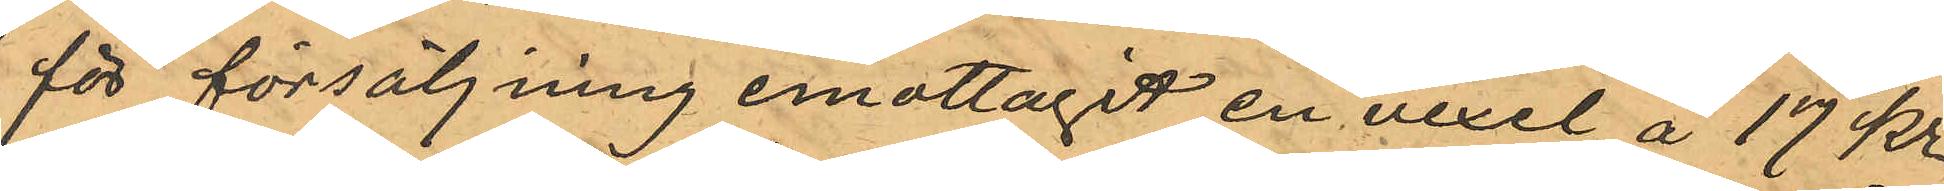för försäljning emottagit en vexel å 17 kr
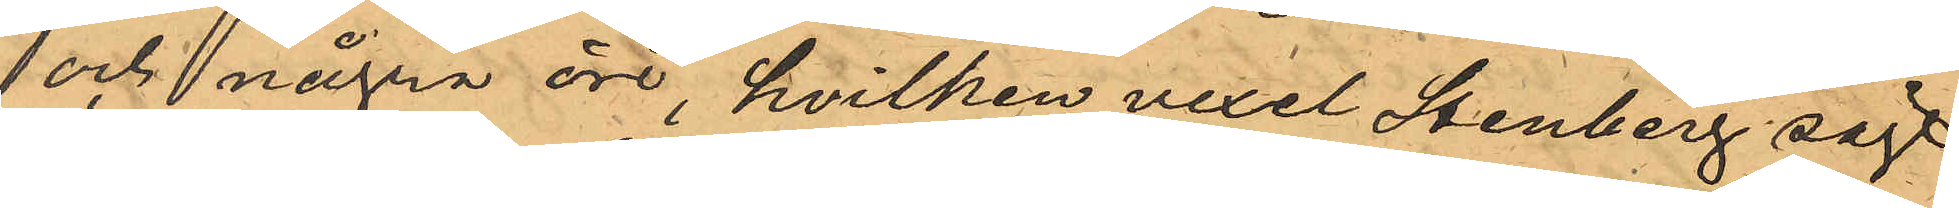och några öre, hvilken vexel Stenberg sagt
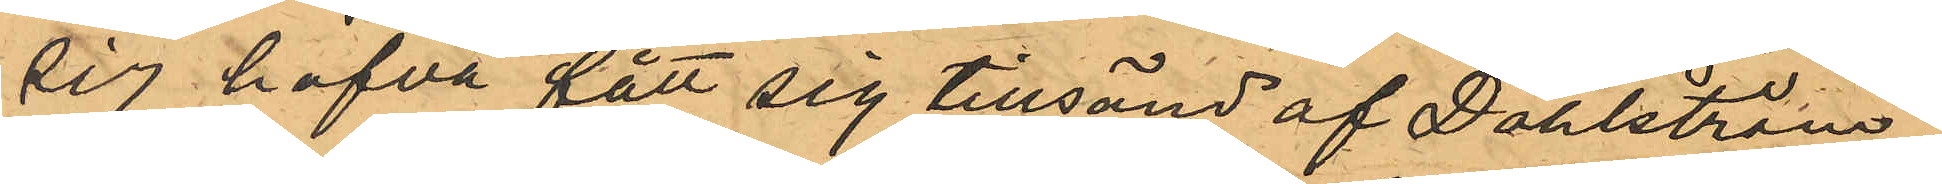sig hafva fått sig tillsänd af Dahlström;
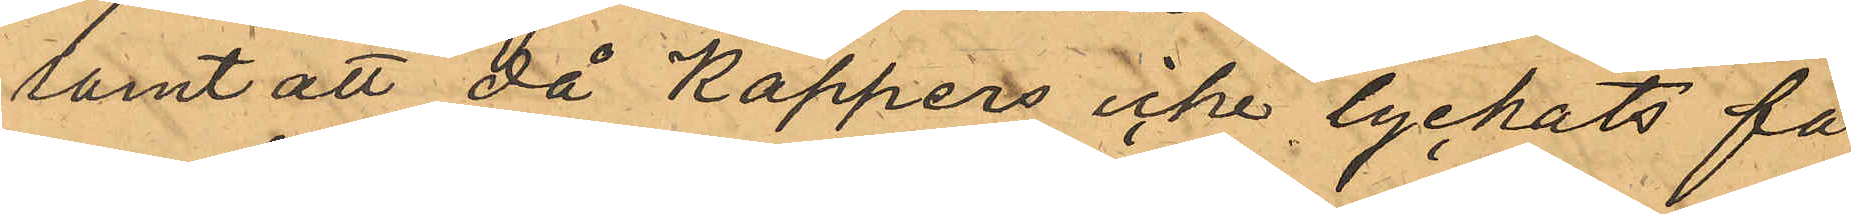samt att då Kappers icke lyckats få
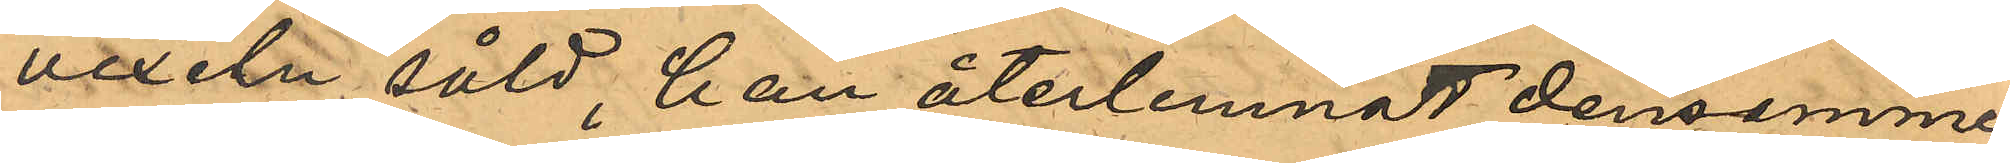vexeln såld, han återlemnat densamme
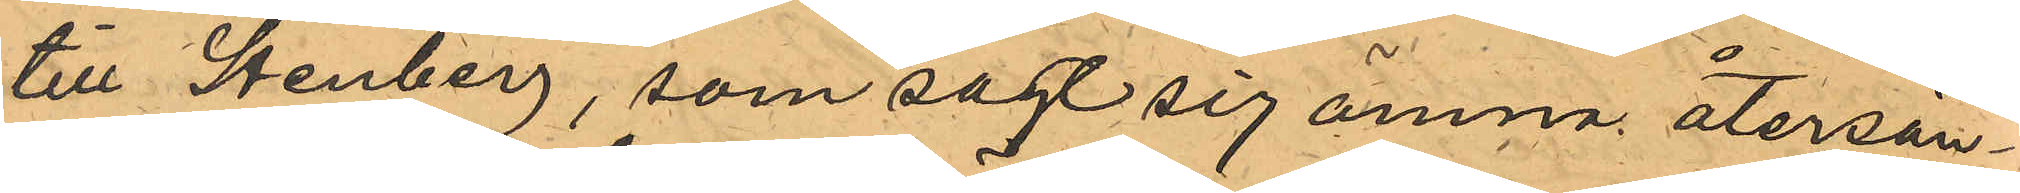till Stenberg, som sagt sig ämna återsän¬
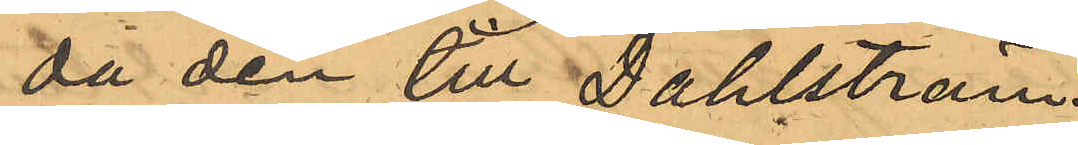da den till Dahlström.
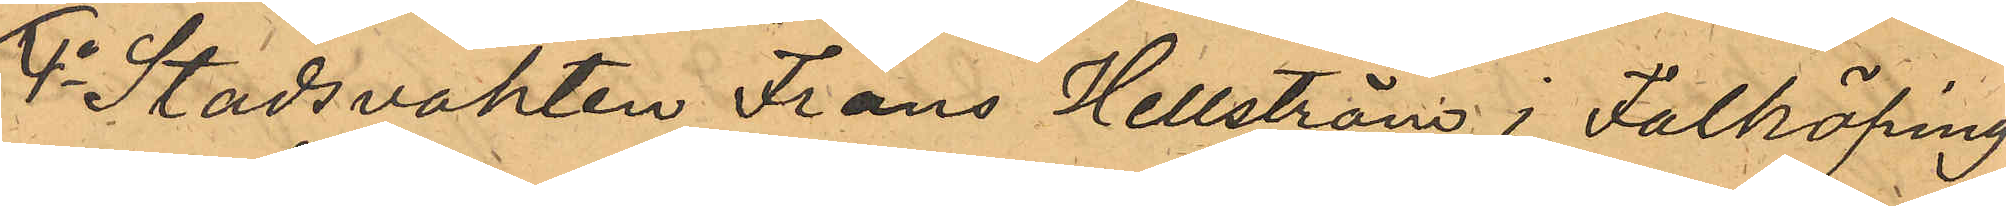4o Stadsvakten Frans Hellström i Falköping
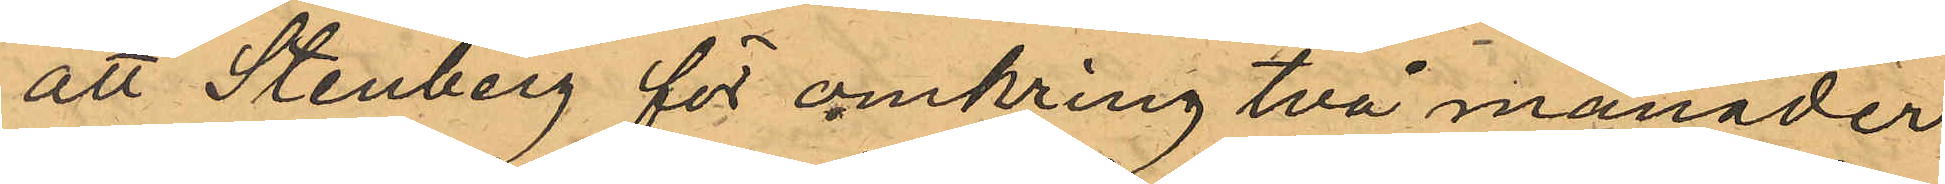att Stenberg för omkring två månader
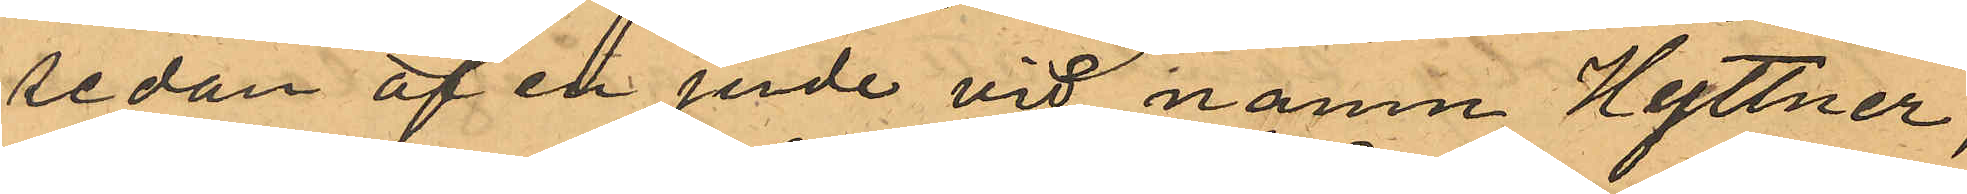sedan af en jude vid namn Hyttner,
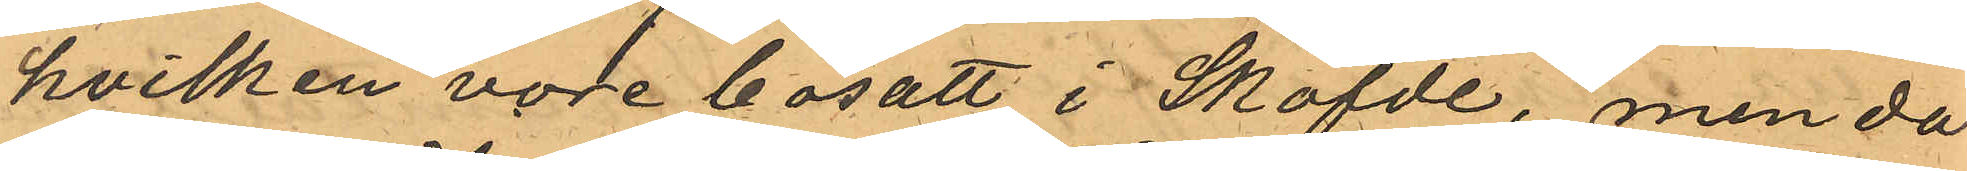hvilken vore bosatt i Sköfde, men då
